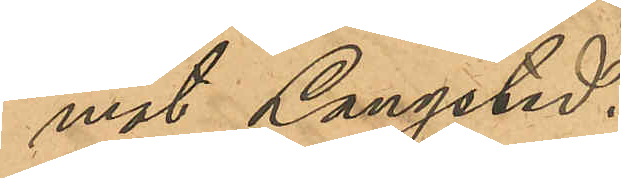mot Langsted.
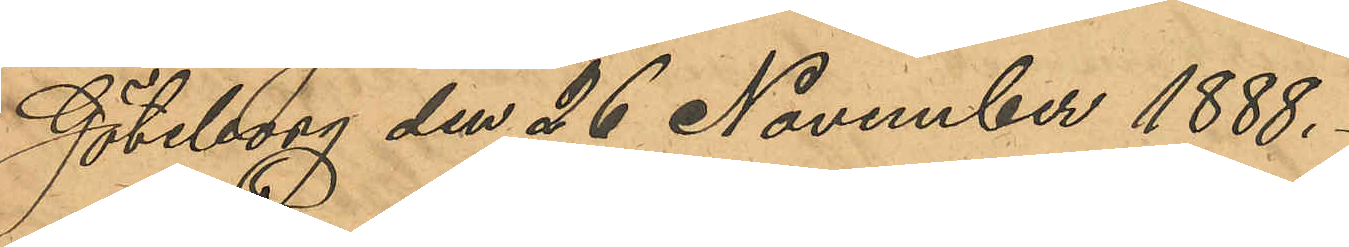Göteborg den 26 November 1888.
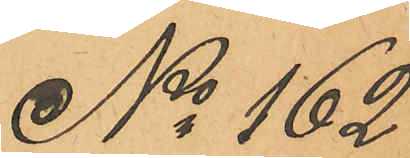No 162
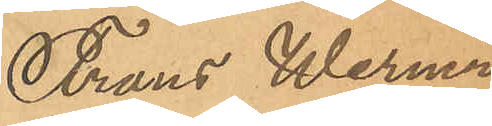Frans Werner
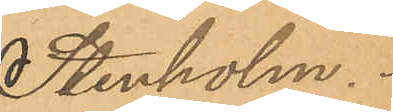Stenholm.
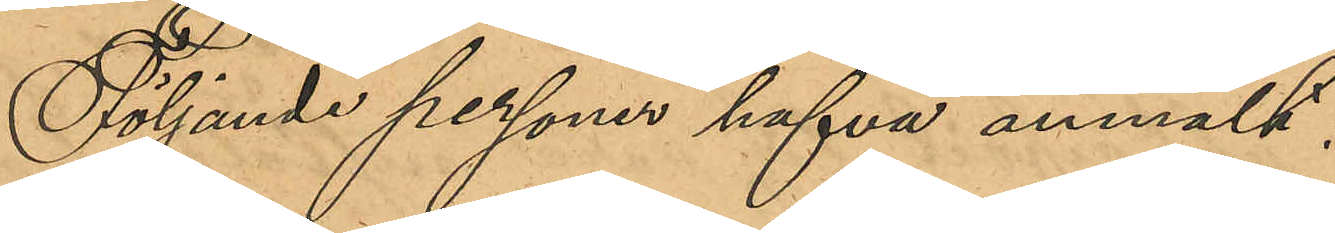Följande personer hafva anmält:
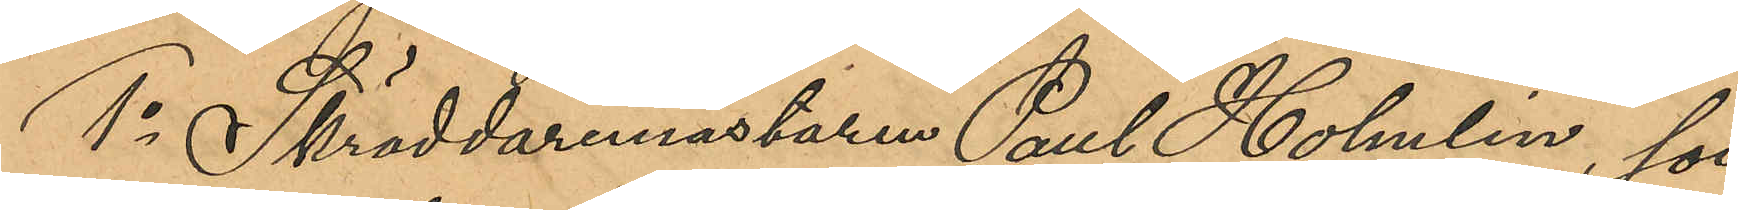1o Skräddaremästaren Paul Holmlin, som
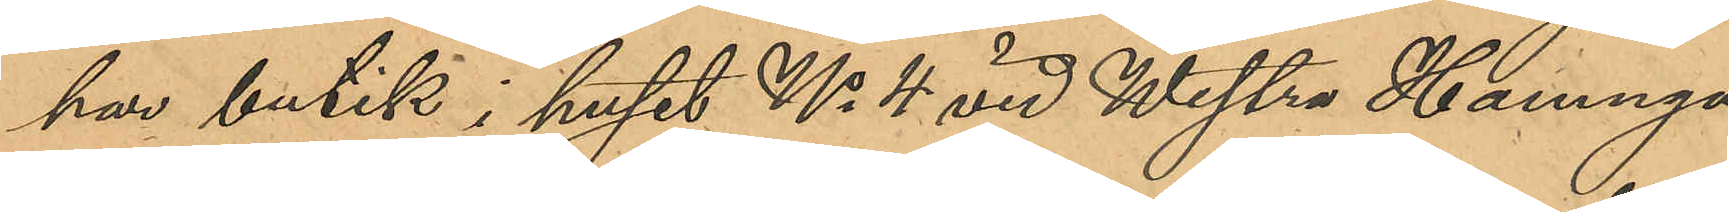har butik i huset No 4 vid Westra Hamnga¬
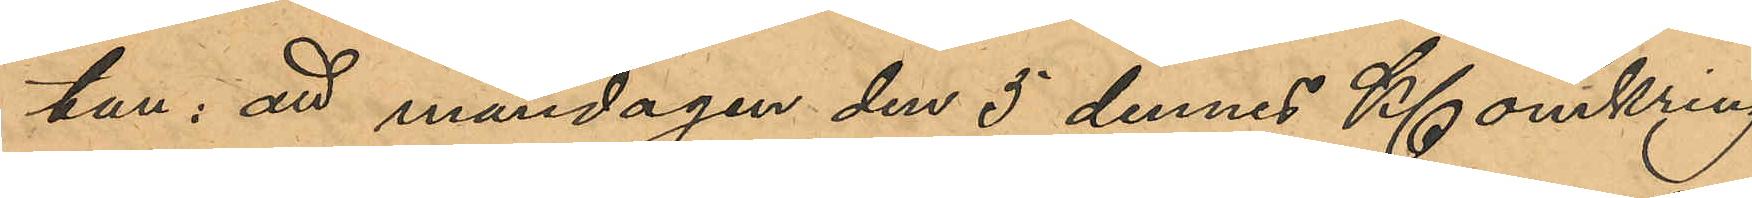tan, att måndagen den 5 dennes Kl omkring
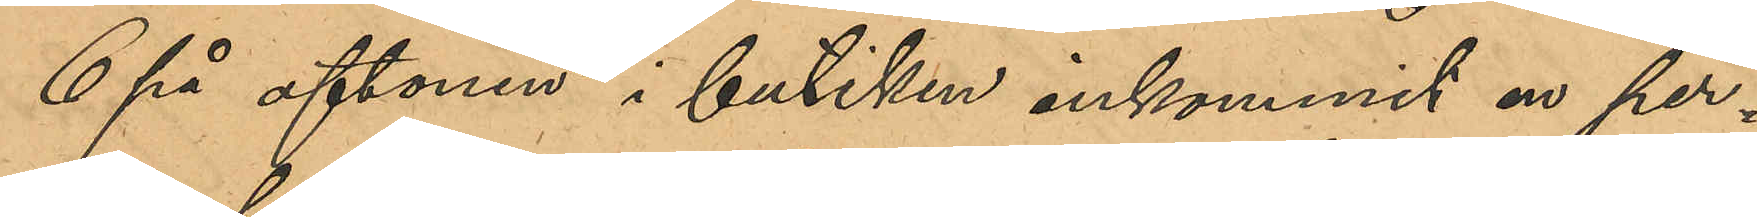6 på aftonen i butiken inkommit en per¬
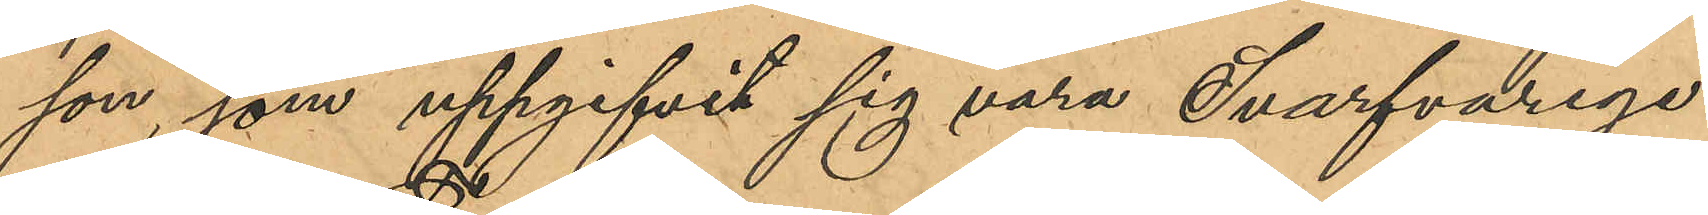son, som uppgifvit sig vara Svarfvarege¬
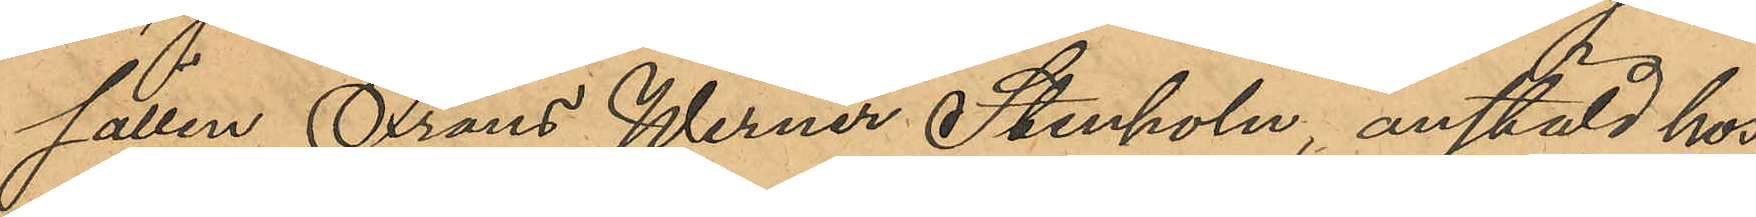sällen Frans Werner Stenholm, anstäld hos
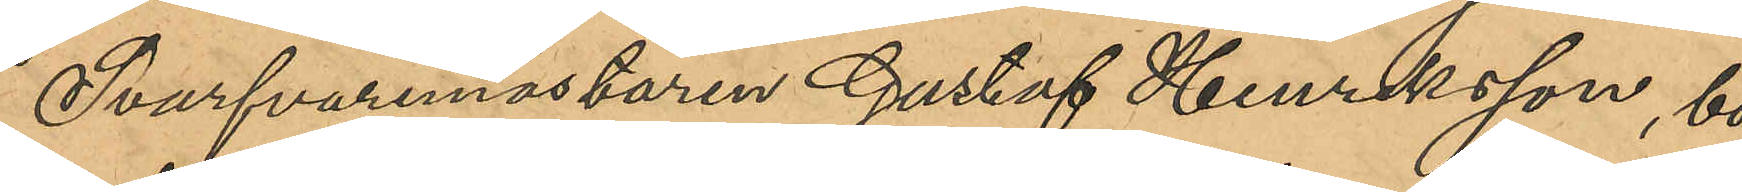Svarfvaremästaren Gustaf Henriksson, bo¬
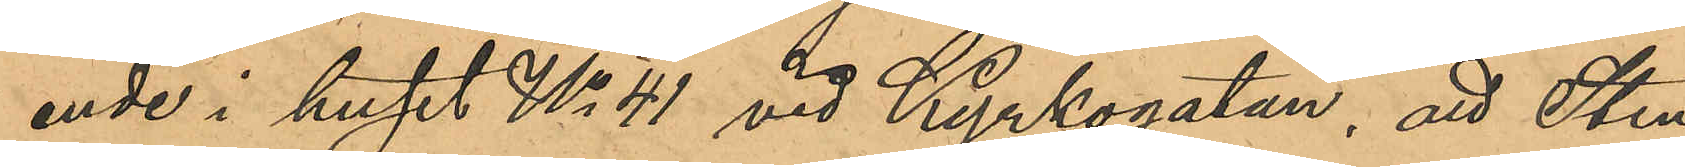ende i huset No 41 vid Kyrkogatan, att Sten¬
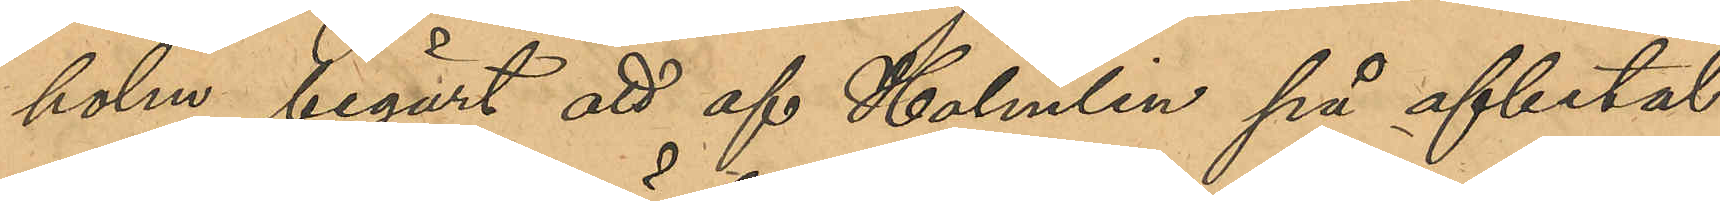holm begärt att af Holmlin på afbetal¬
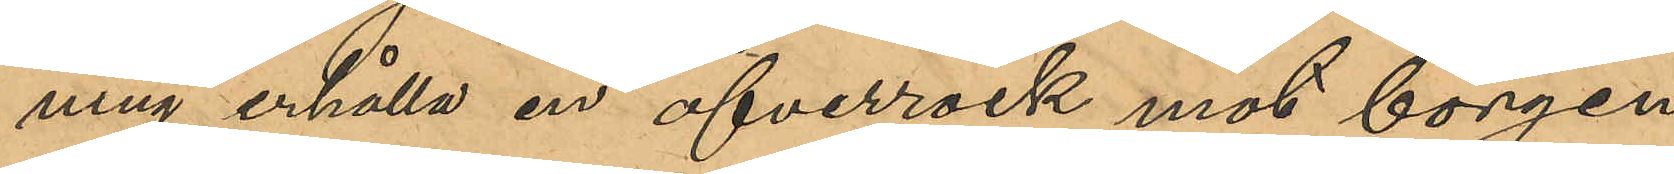ning erhålla en öfverrock mot borgen
